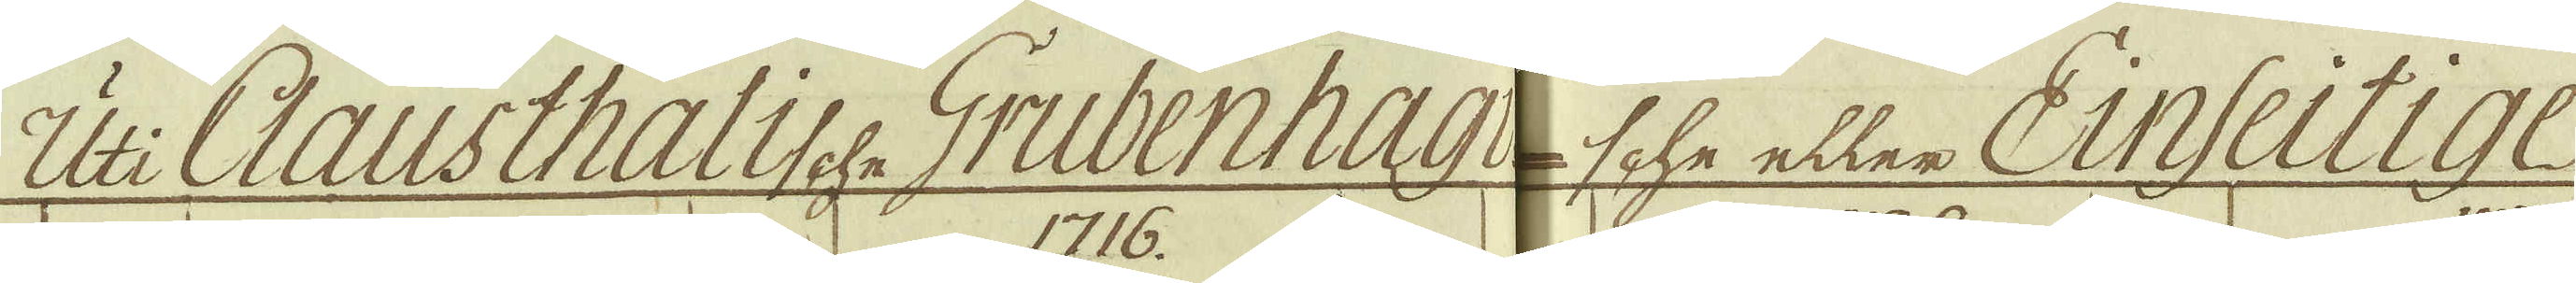Uti Clausthalische Grubenhagi-sche eller Einseitige
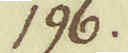196.
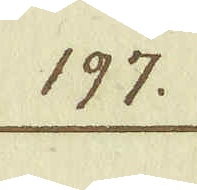197.
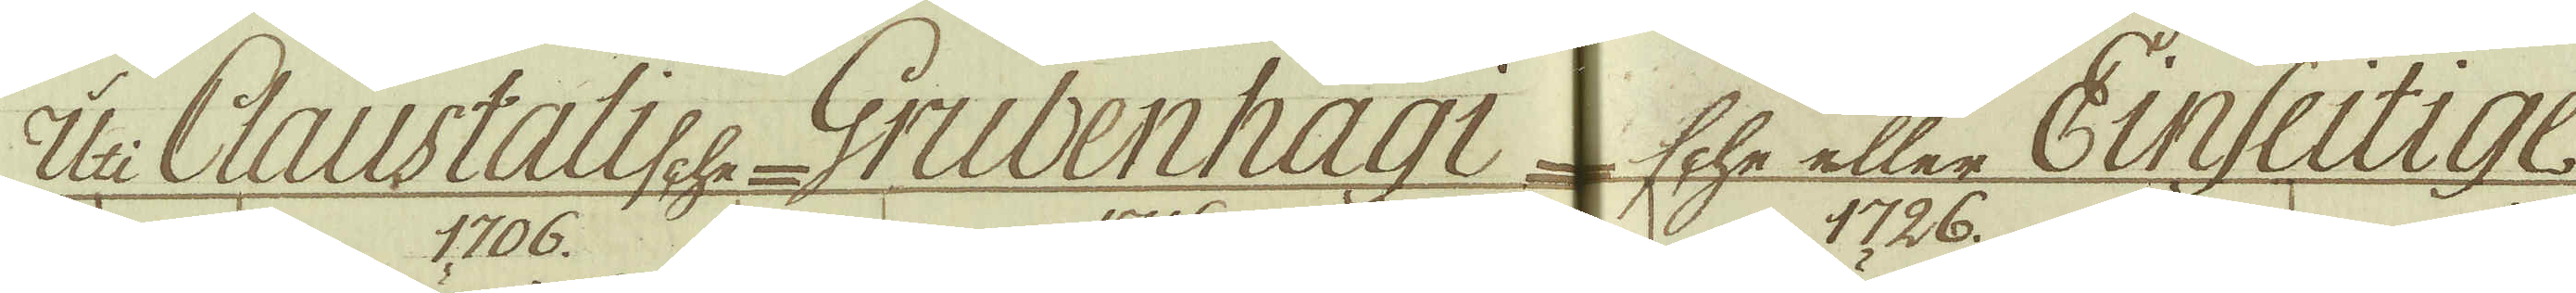Uti Clausthalische Grubenhagi-sche eller Einseitige.
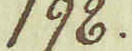198.
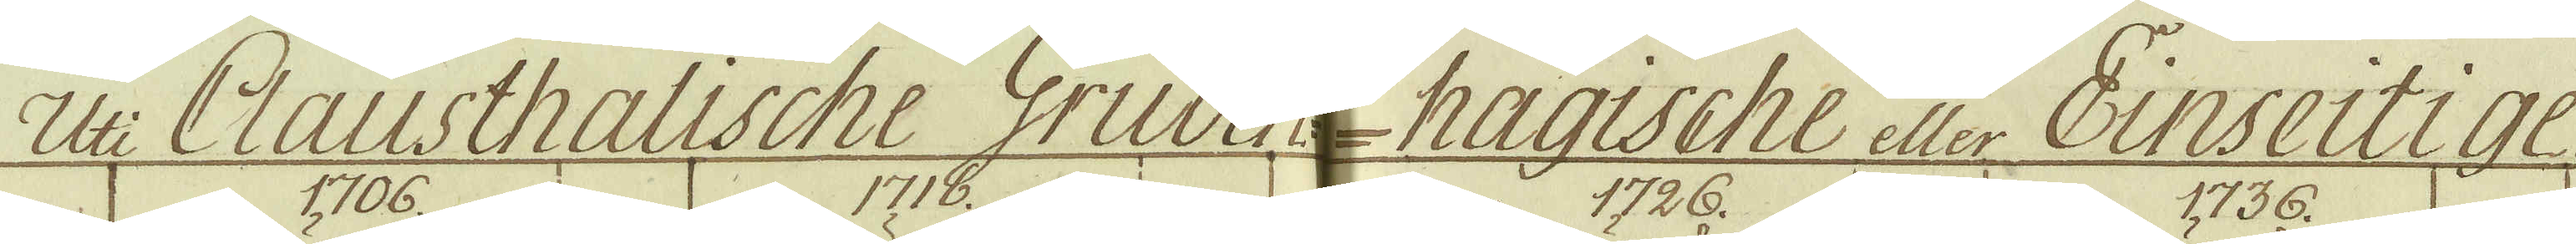Uti Clausthalische Gruben-hagische eller Einseitige
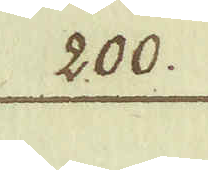200.
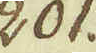201.
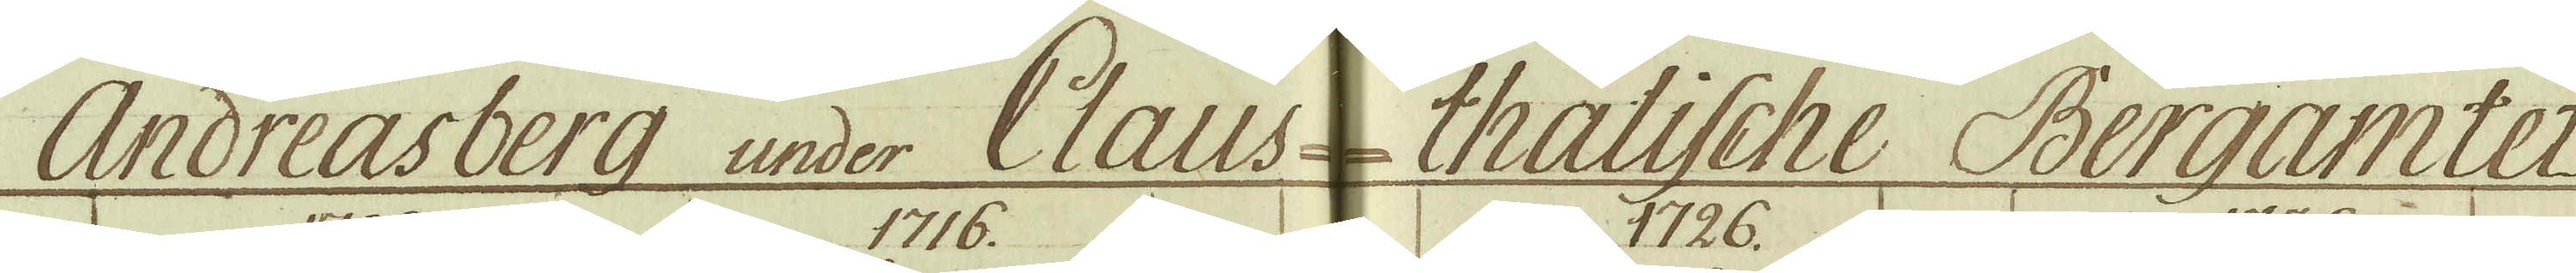Andreasberg under Claus-thalische Bergamtet.
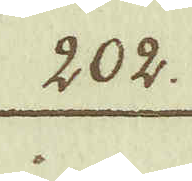202.
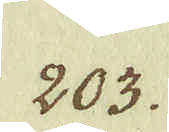203.
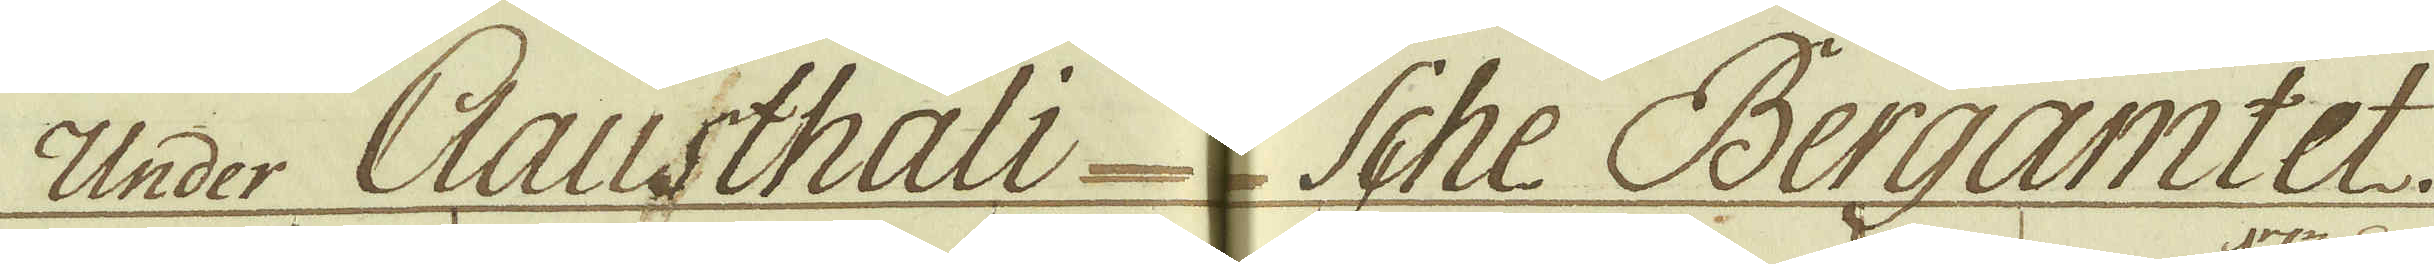Under Clausthali-sche Bergamtet.
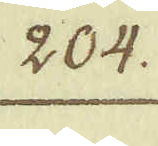204.
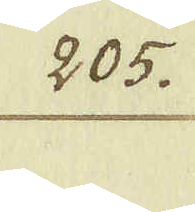205.
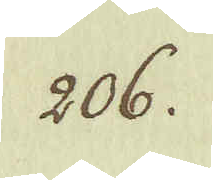206.
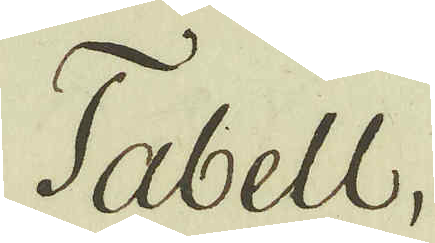Tabell.
